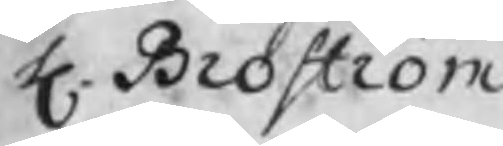H. Broström
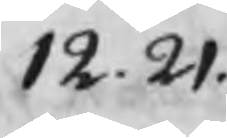12.21.
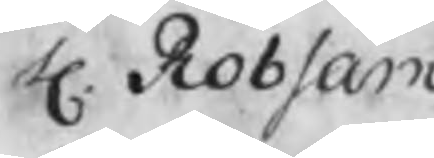H. Robsam
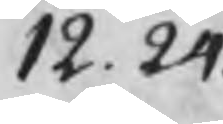12. 24.
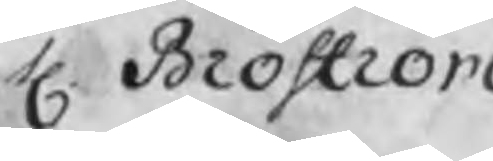H. Broström
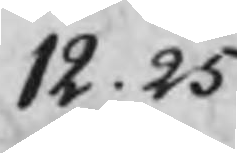12.25
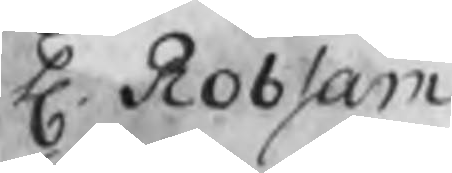H. Robsam
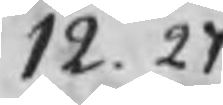12. 27
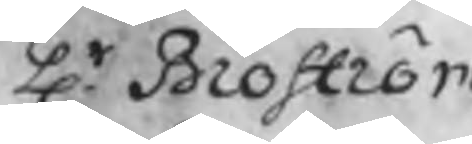Hr. Broström
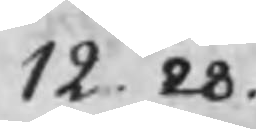12. 28.
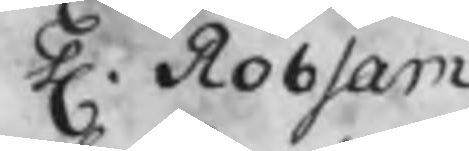H. Robsam
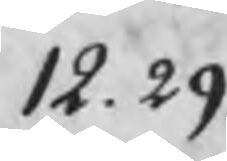12.29
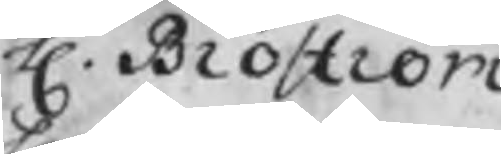H. Broström
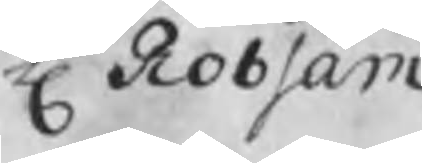H Robsam
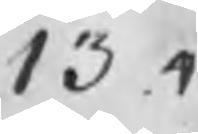13 .4
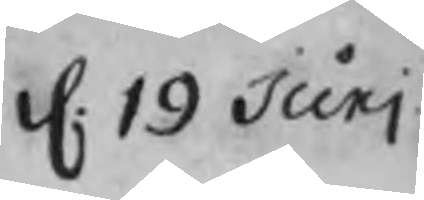d. 19 Junj
